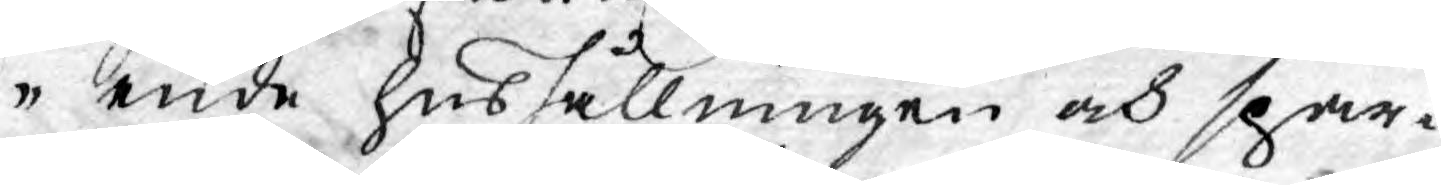ende hushållningen och spar¬
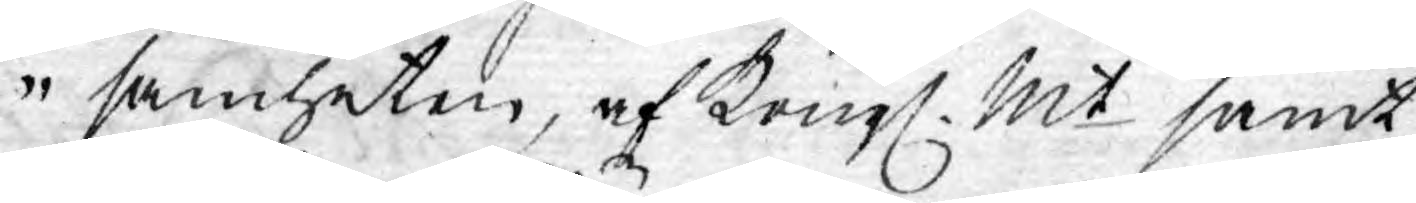samheten, af Kongl. Mt samt
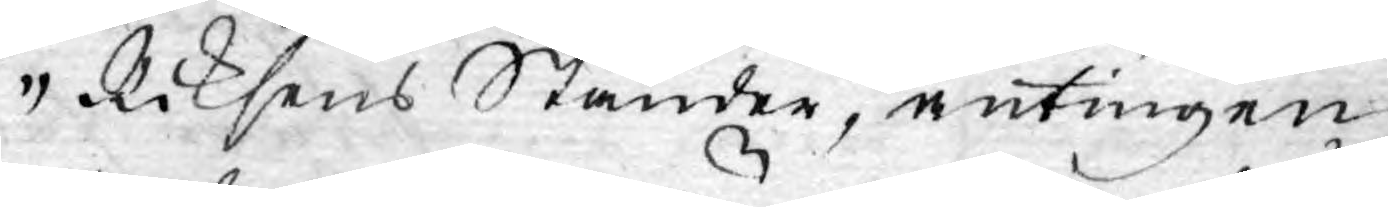Riksens Ständer, antingen
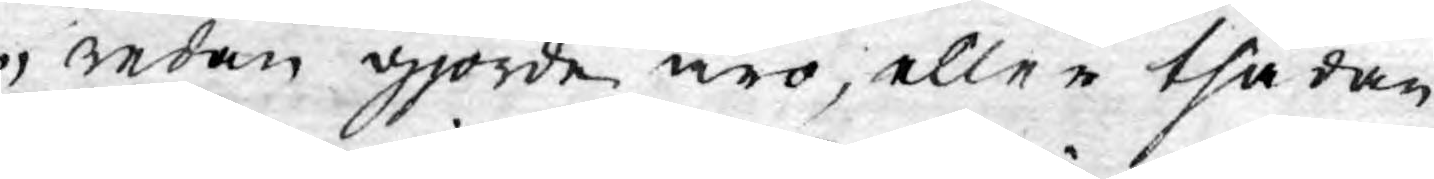redan gjorde äro, eller thädan¬
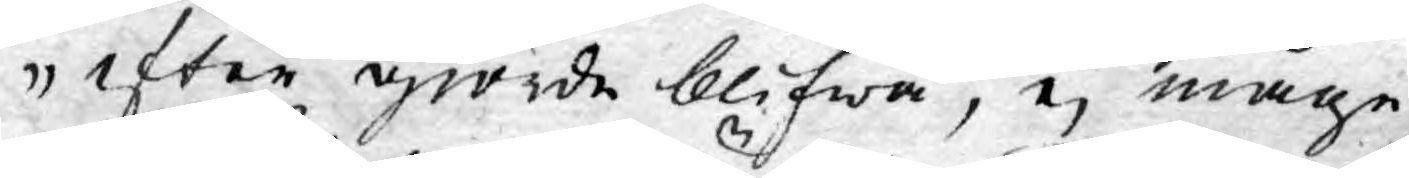efter giorde blifwa, ej måge
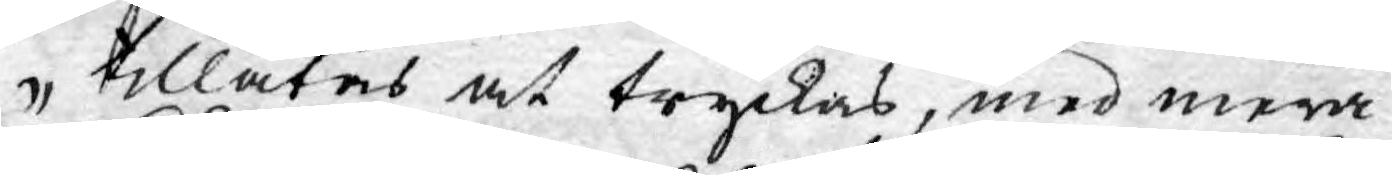tillåtas at tryckas, med mera.
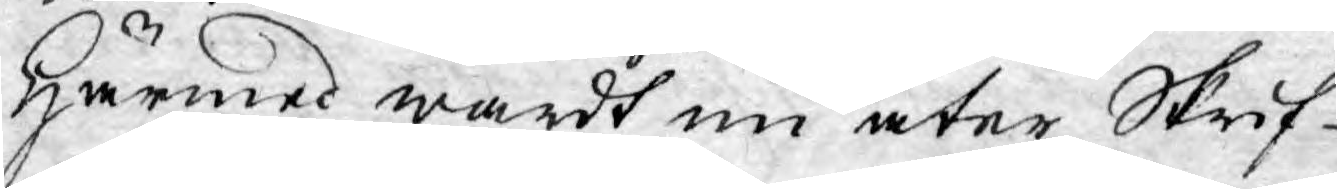Härmed wardt nu åter Skrif¬
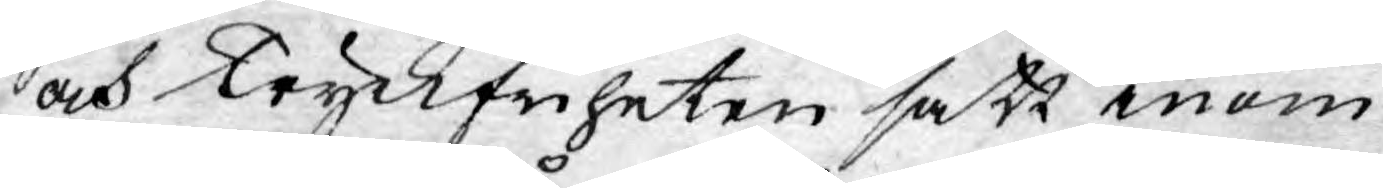och Tryckfriheten satt inom
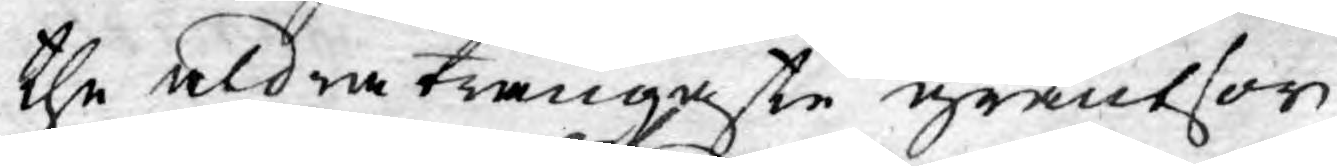the aldra trångaste gräntsor;
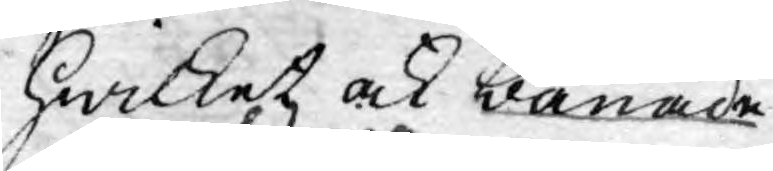hwilket ock banade
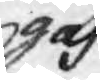gaf
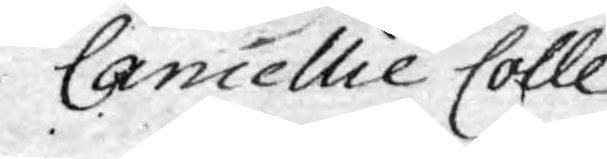Cancellie Colle¬
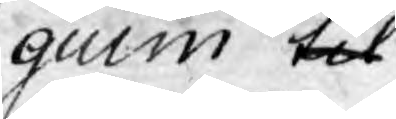guim til
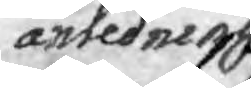anledning
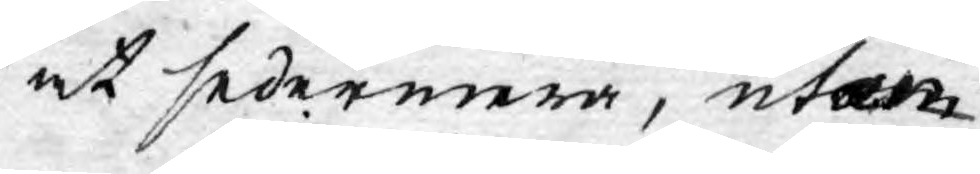at sedermera, utan
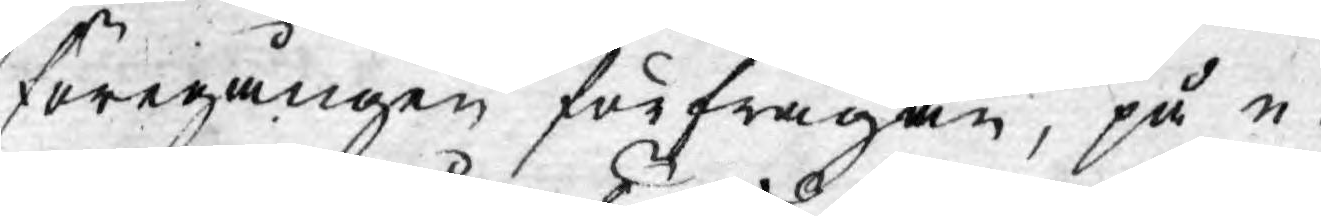föregången förfrågan, på e¬
